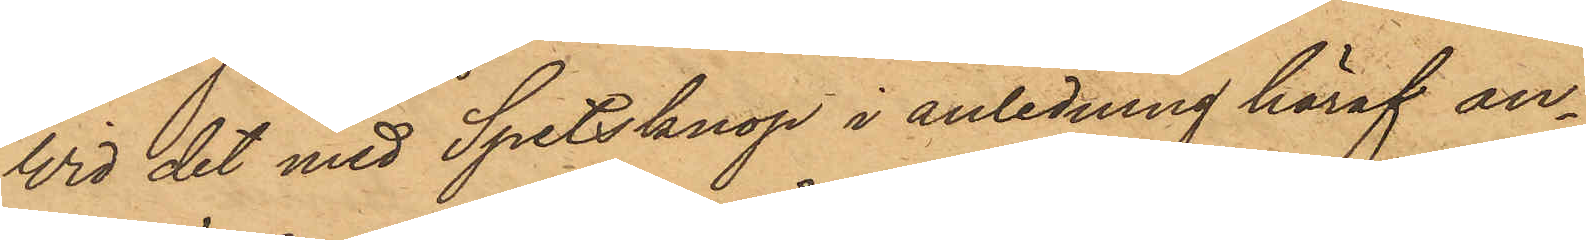Wid det med Spetsknop i anledning häraf an¬
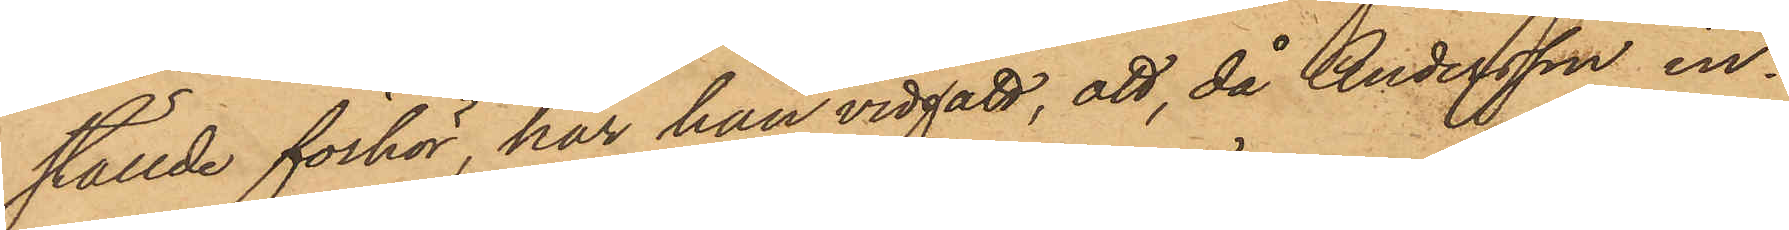ställde förhör, har han vidgått, att, då Andersson in¬
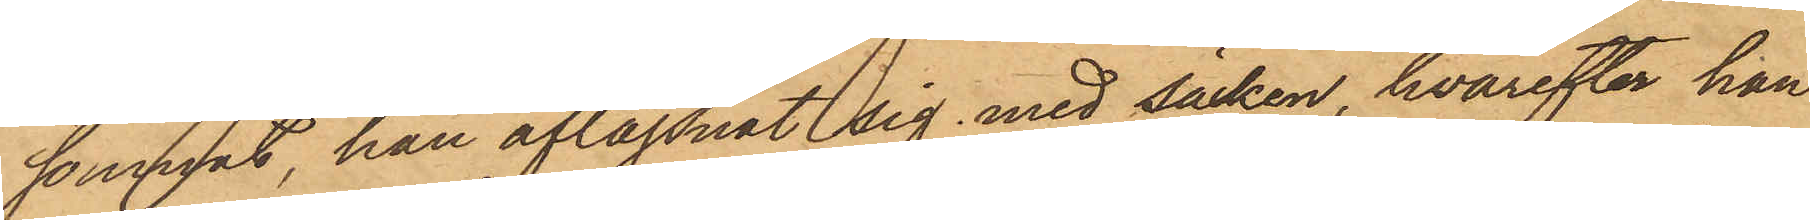somnat, han aflägsnat sig med säcken, hvarefter han
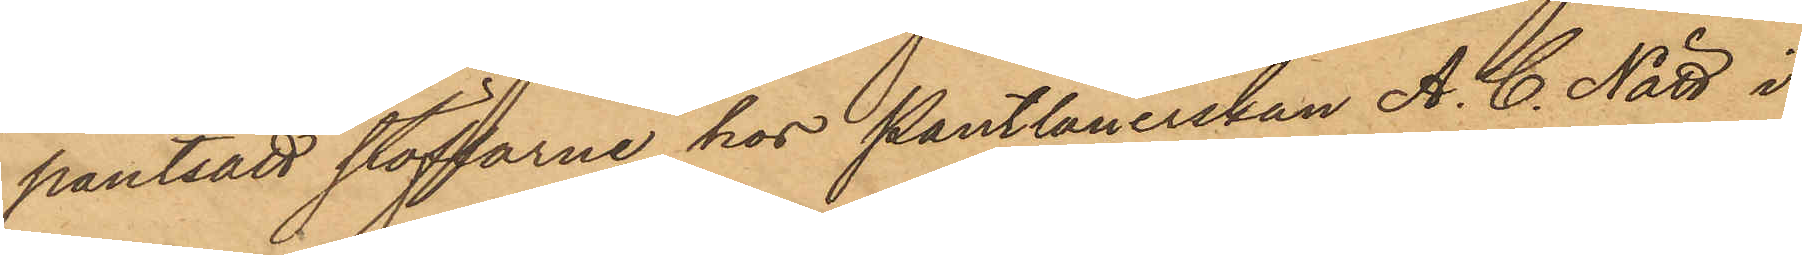pantsatt stöflarne hos Pantlånerskan A. C. Nätt i
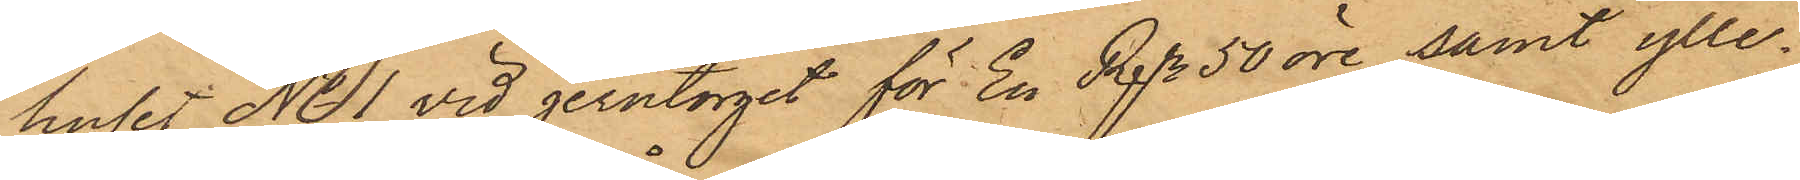huset No 1 vid Jerntorget för En Rdr 50 öre samt ylle¬
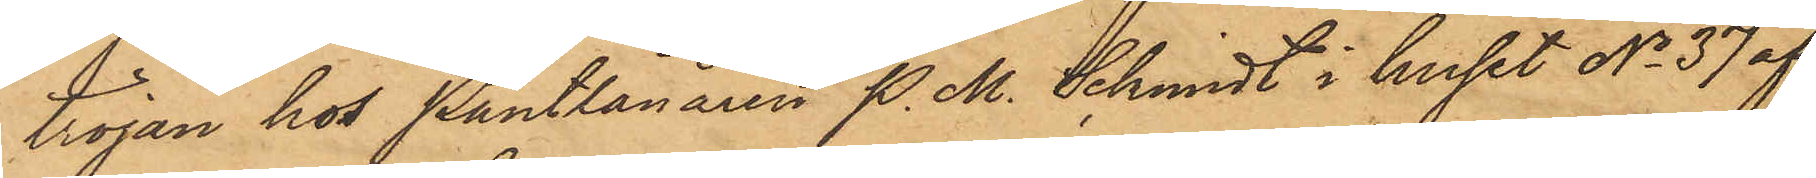tröjan hos Pantlånaren P.M. Schmidt i huset No 37 af  
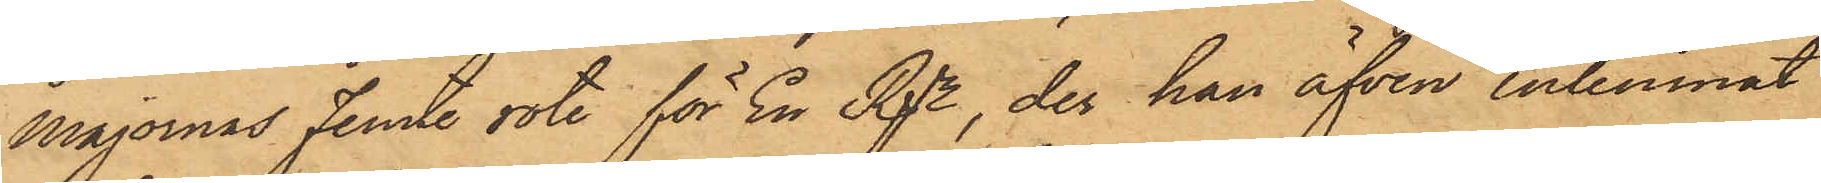Majornas femte rote för En Rdr, der han äfven inlemnat
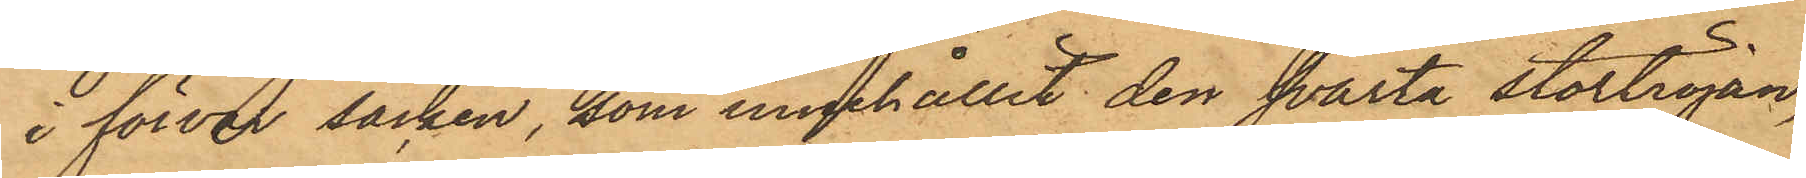i förvar säcken, som innehållit den svarta stortröjan,
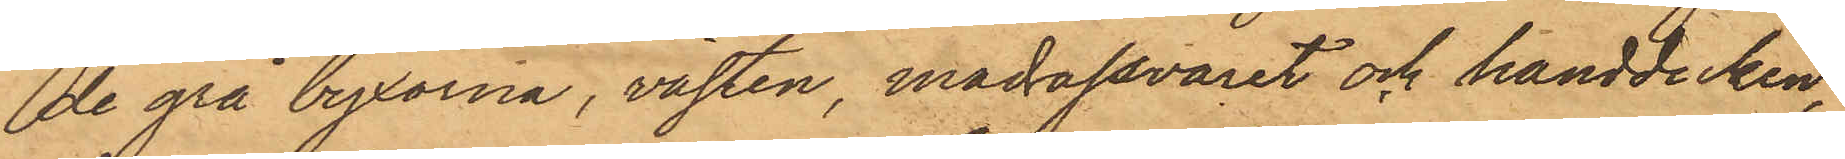de grå byxorna, västen, madrassvaret och handduken,
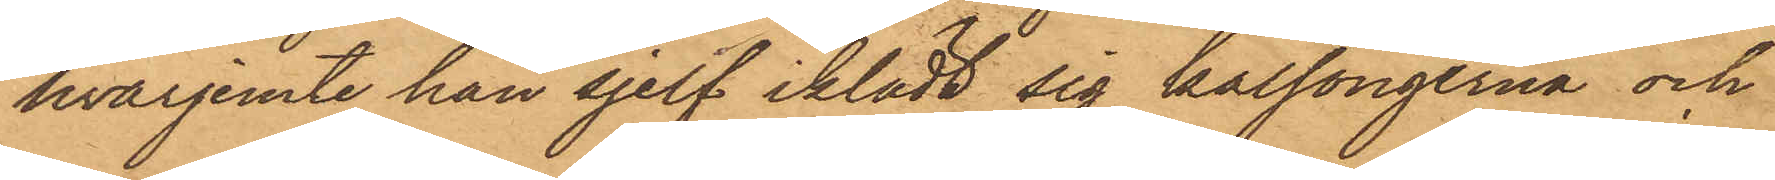hvarjemte han sjelf iklädt sig kalsongerna och
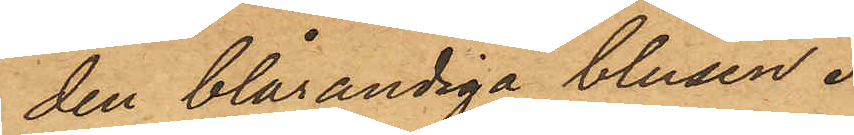den blårandiga blusen.
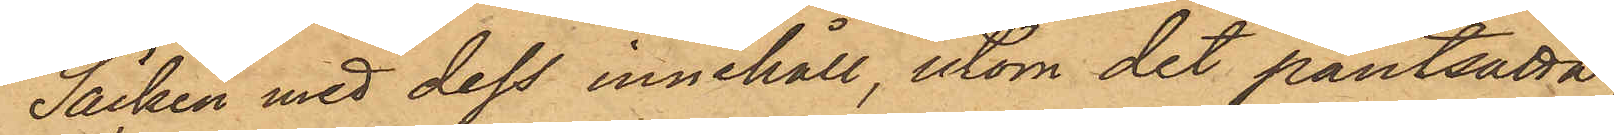Säcken med dess innehåll, utom det pantsatta,
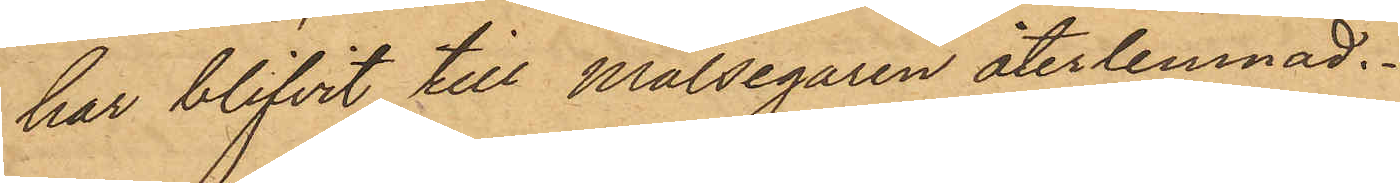har blifvit till målsegaren återlemnad.
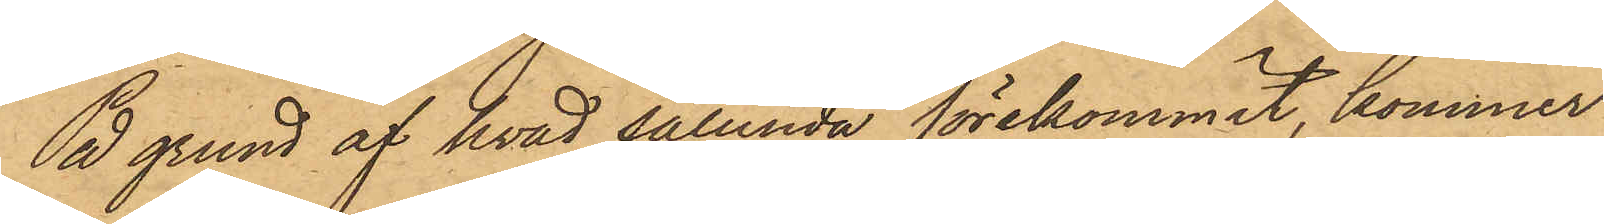På grund af hvad sålunda förekommit, kommer
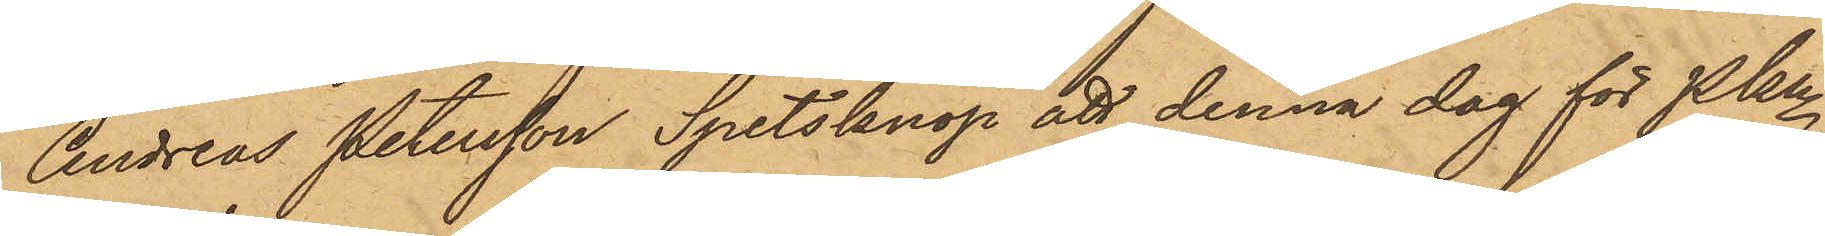Andreas Petersson Spetsknop att denna dag för Pkn
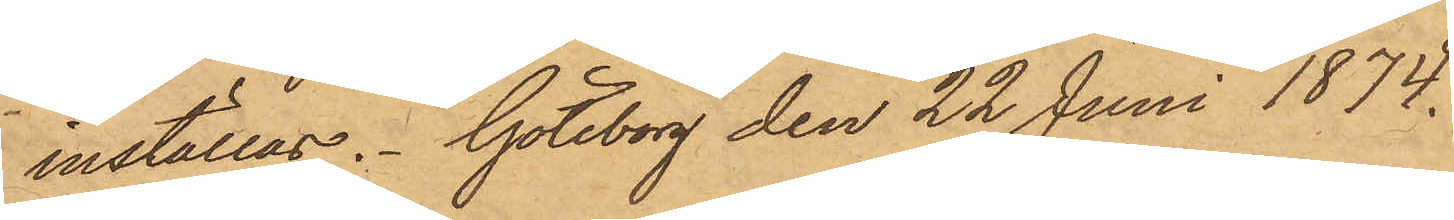inställas. Göteborg den 22 Juni 1874.
